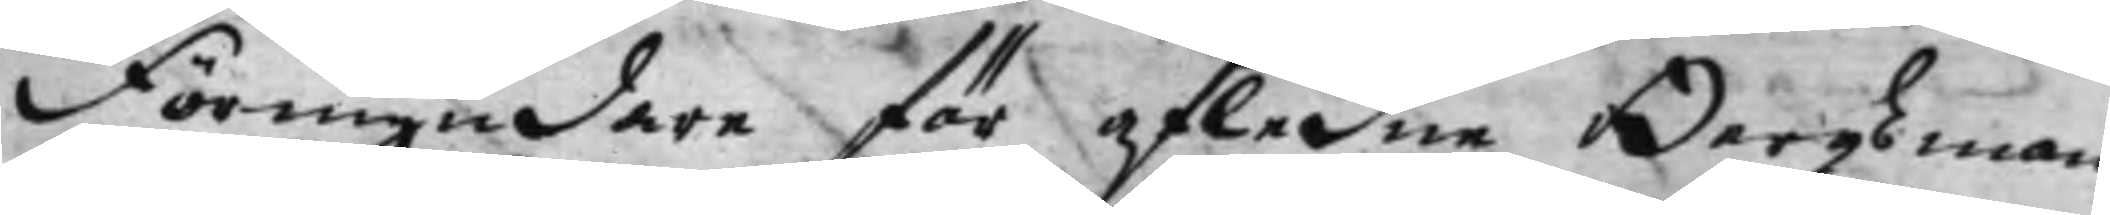Förmyndare för afledne Bergsman¬
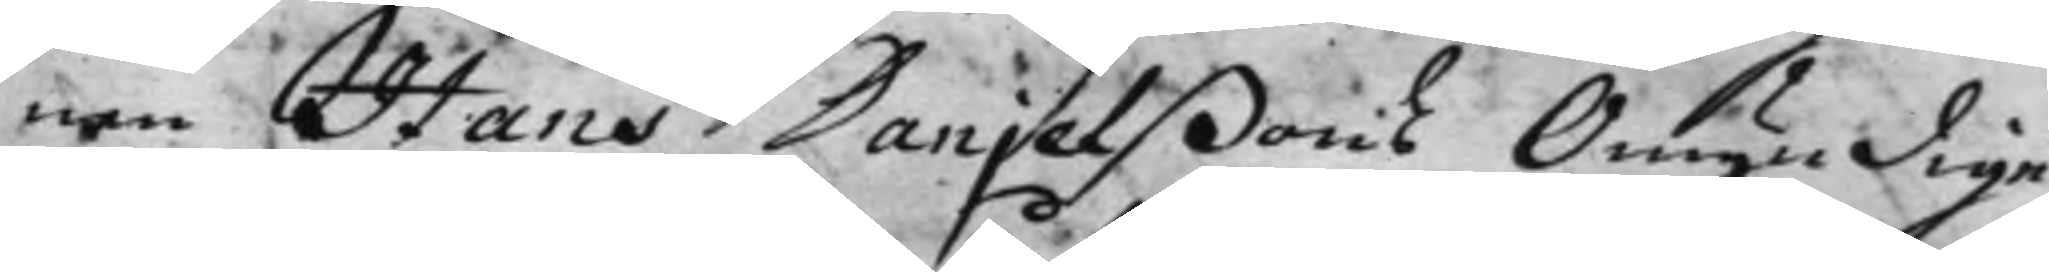nen Hans Danjelßons Omyndige
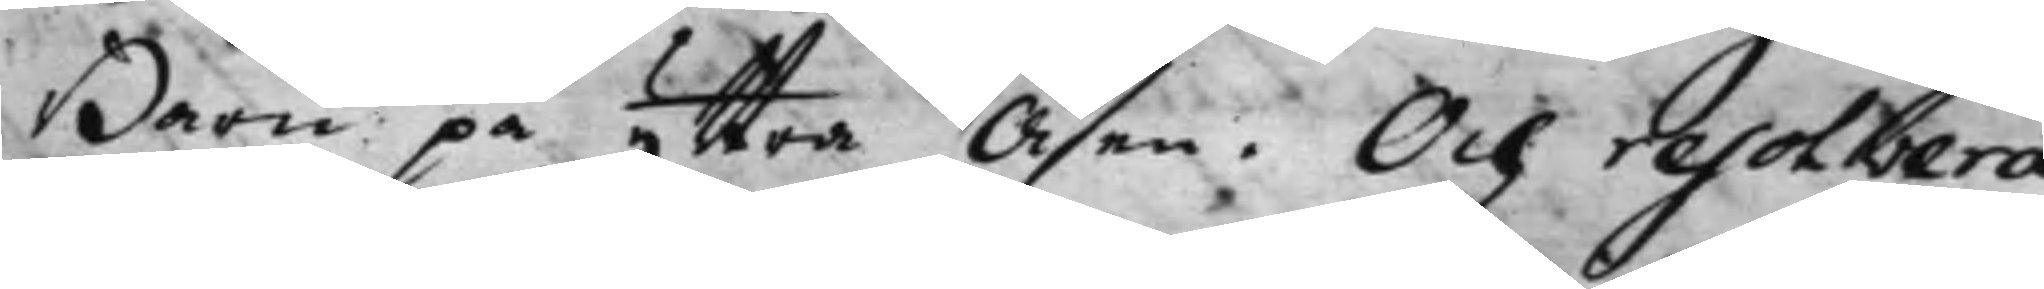Barn på yttra Åsen. Och resolvera¬
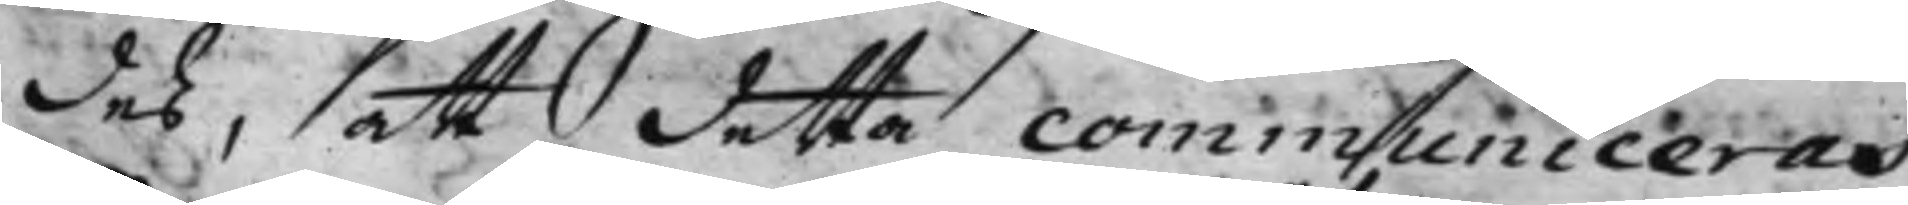des, att detta communiceras
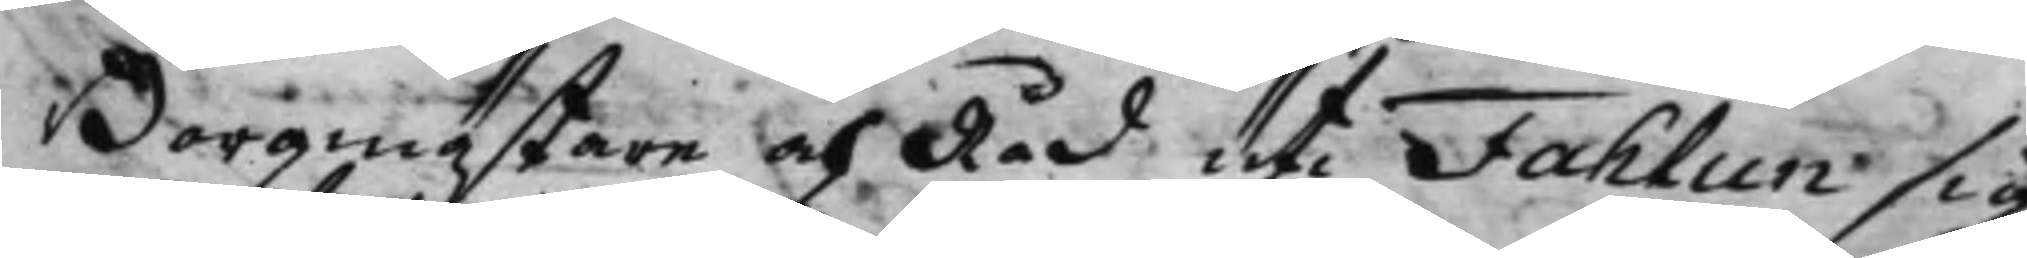Borgmästare och Råd uti Fahlun sig
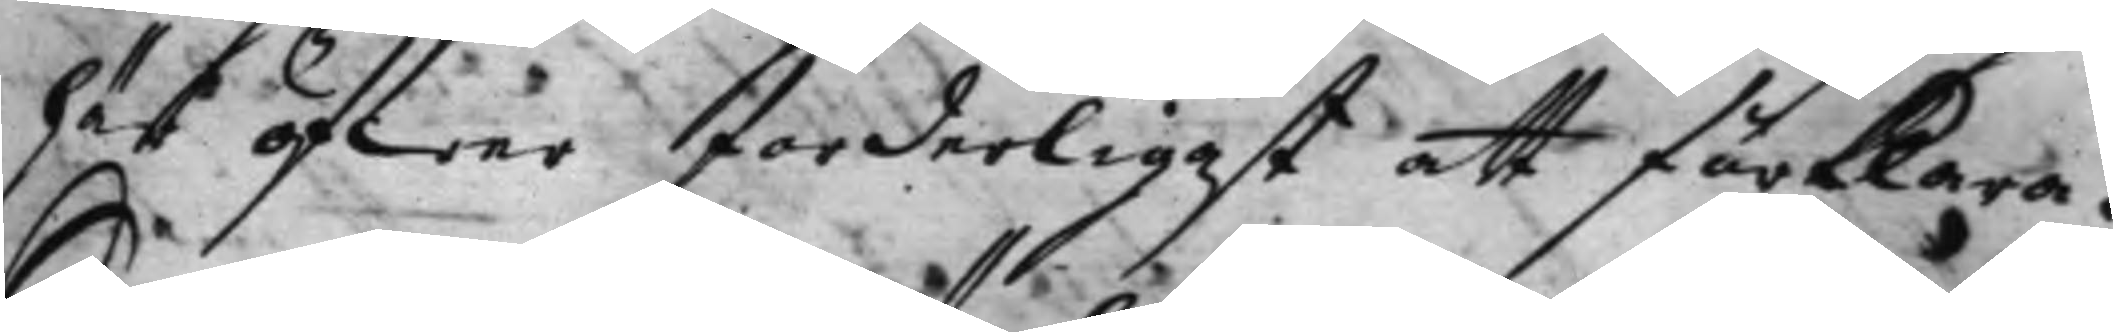här öfwer forderligast att förklara.
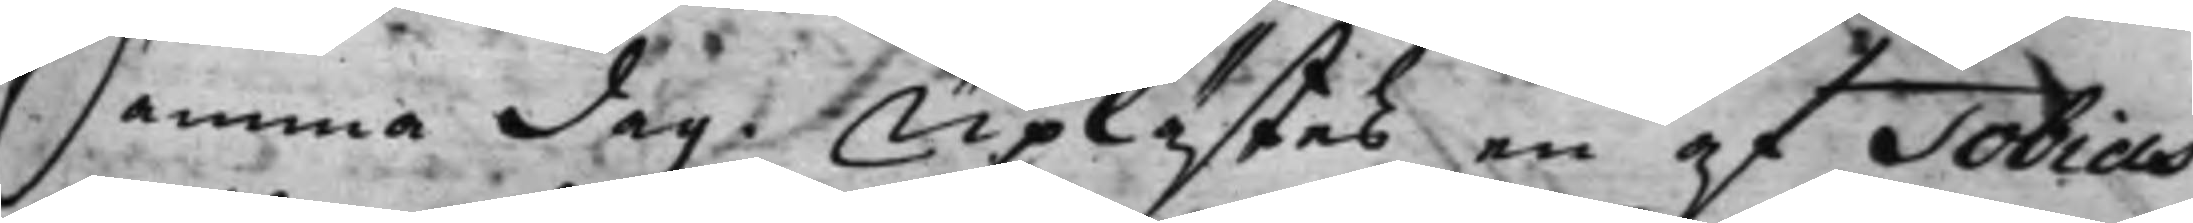Samma dag. Uplästes en af Tobias
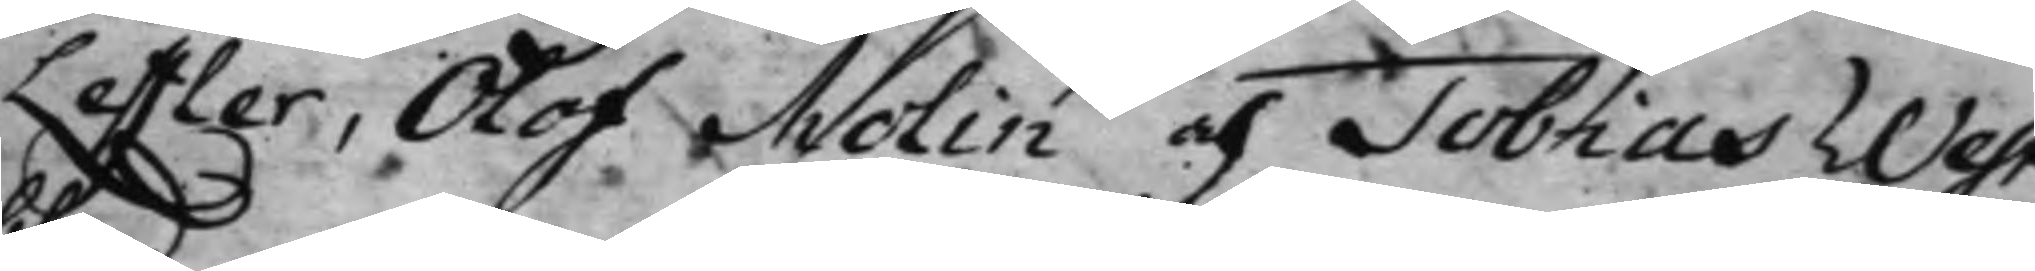Leffler, Olof Molin och Tobias West¬ 
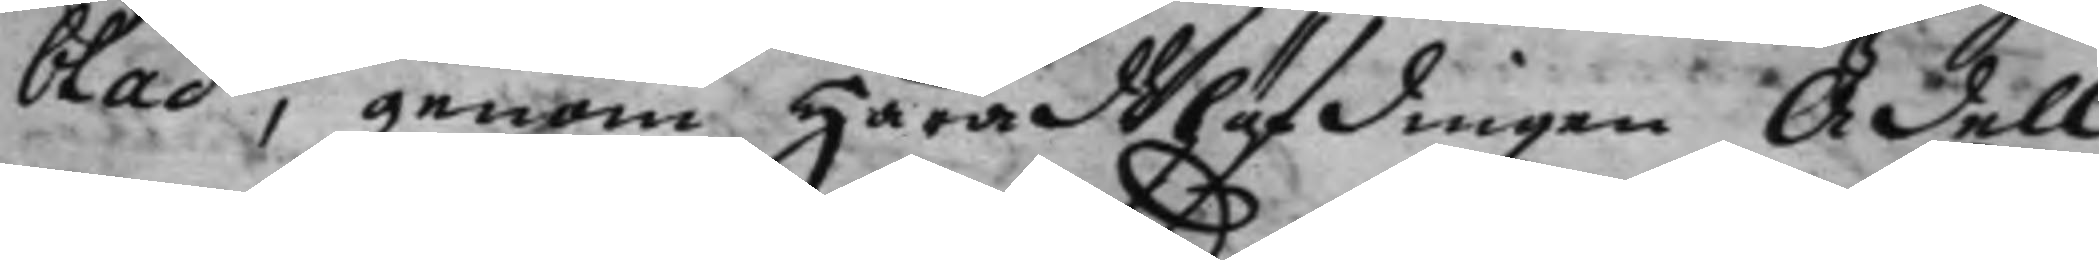blad, genom Häradzhöfdingen Ädell
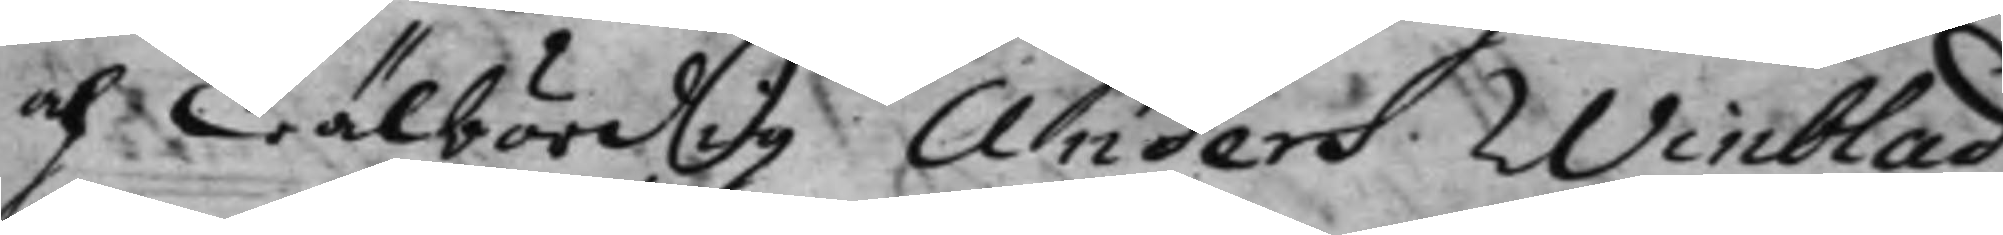och Wälbördg Anders Winblad
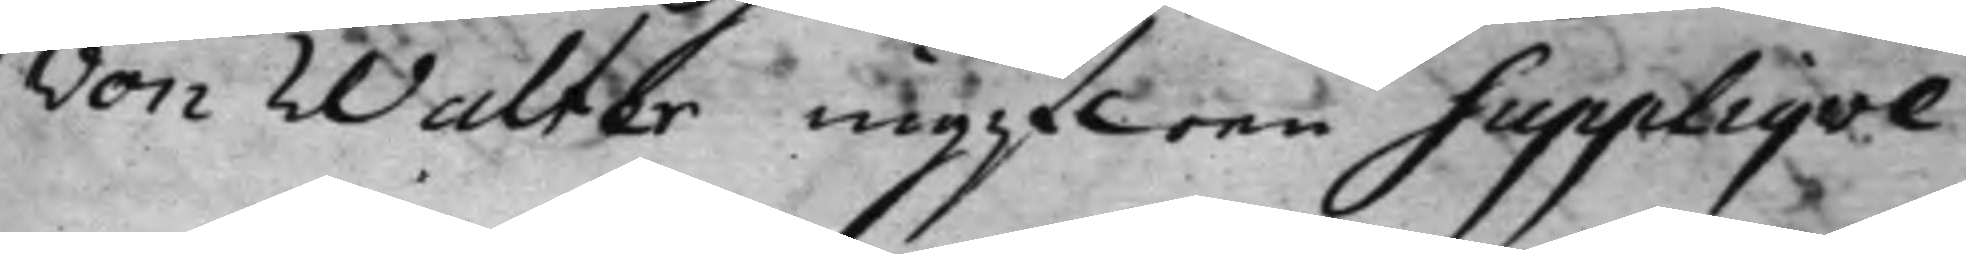von Walter ingifwen Suppliqve
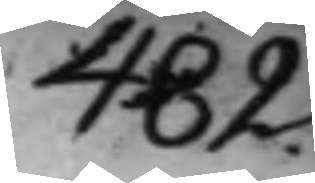482.
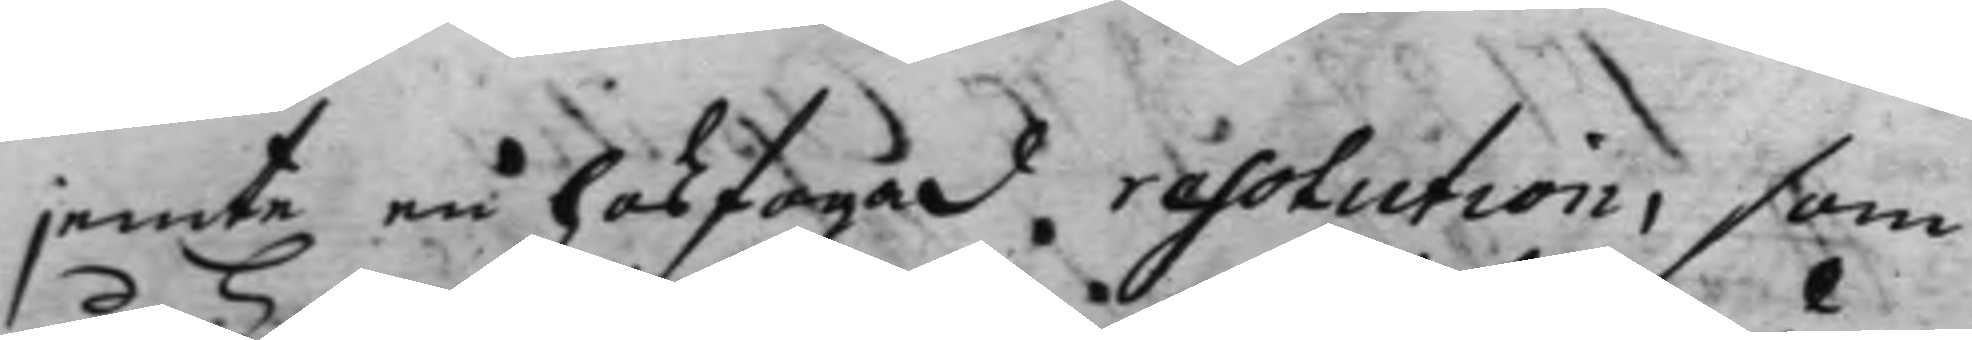jemte en hosfogad resolution, som
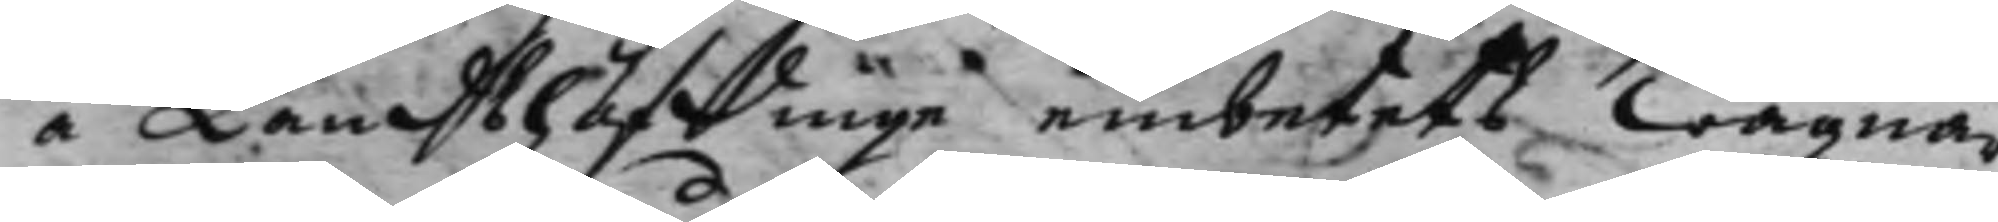å Landzbhöffinge embetets wägnar
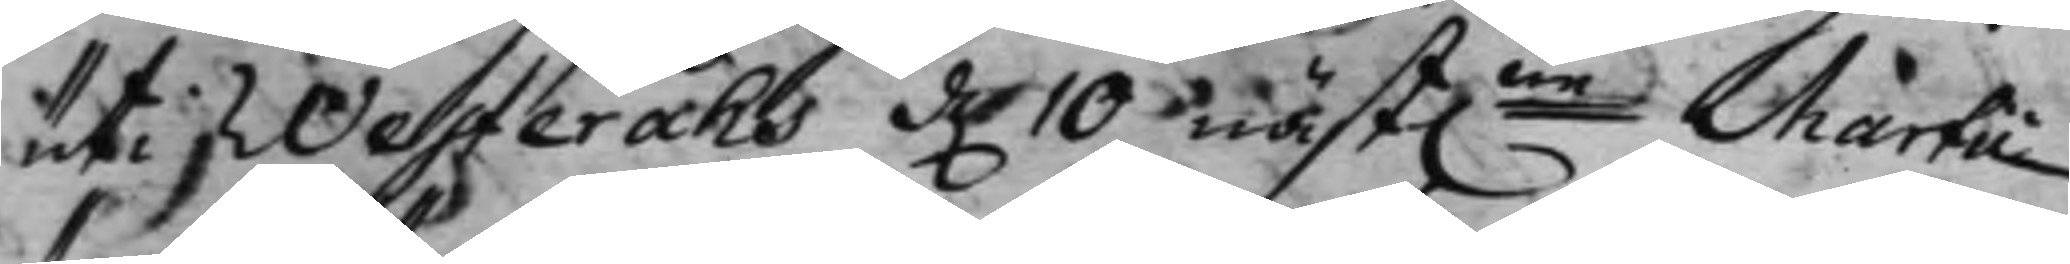uti Westeråhs d. 10 näst.ne Martii
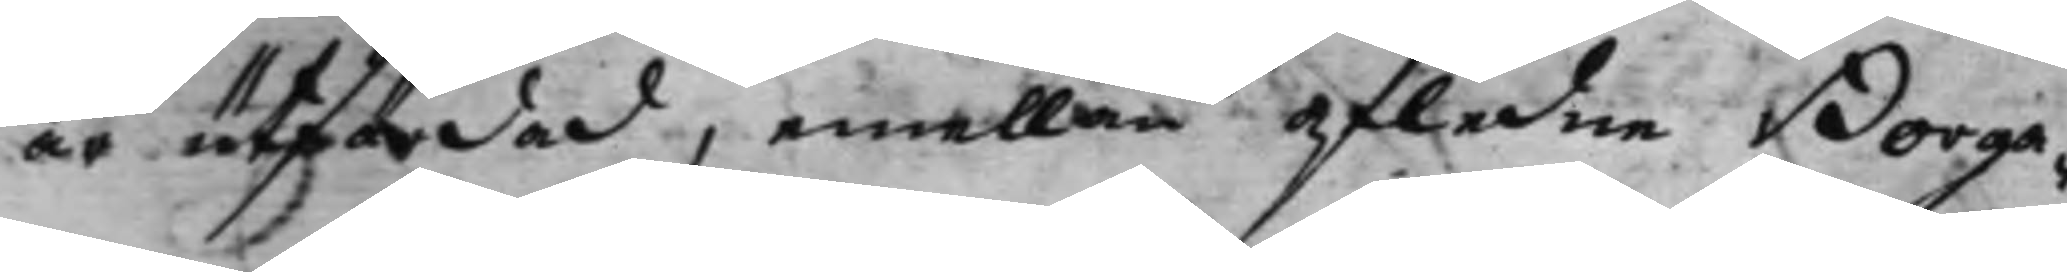är utfärdad, emellan afledne Borga¬
